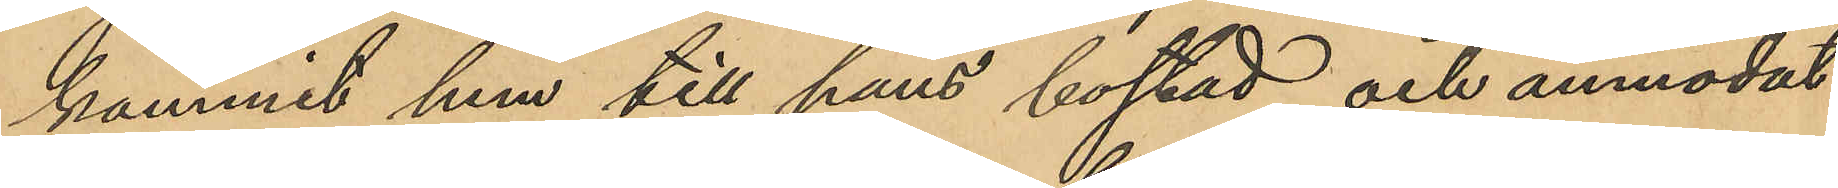kommit hem till hans bostad och anmodat
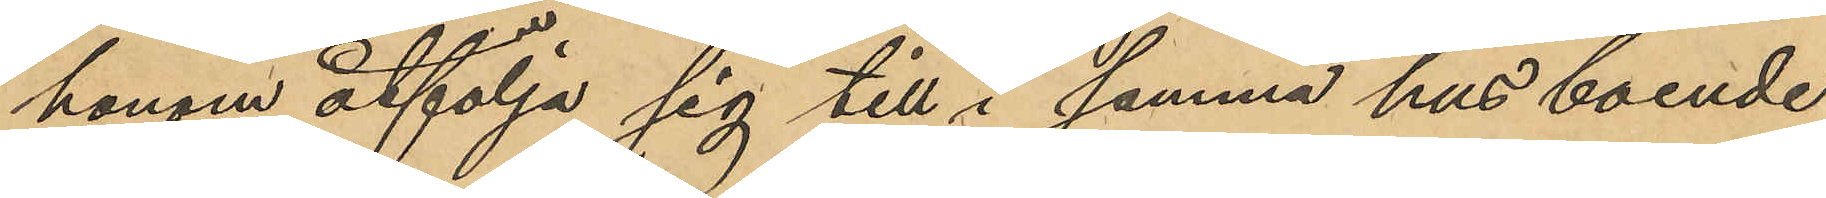honom åtfölja sig till i samma hus boende
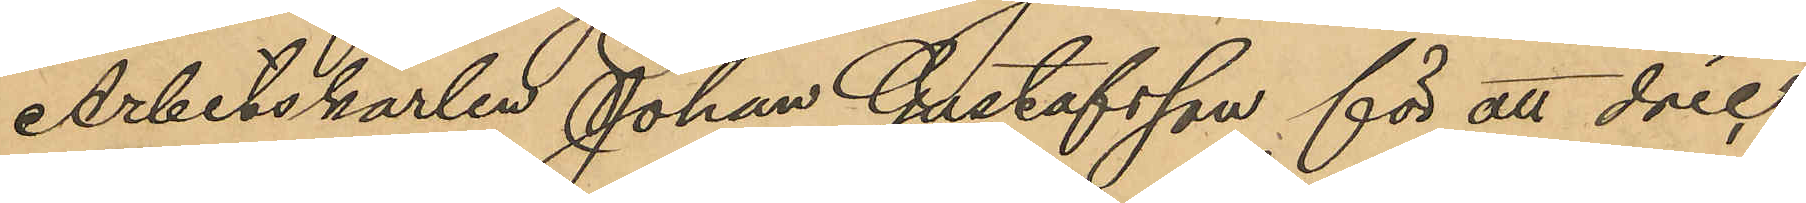Arbetskarlen Johan Gustafsson för att dric¬
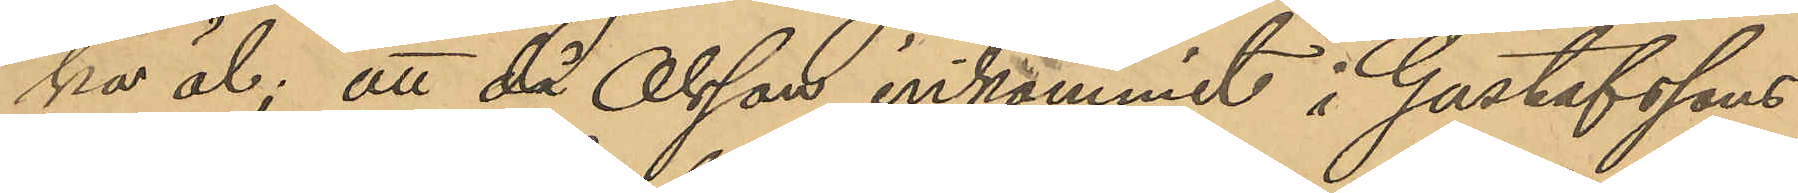ka öl; att då Olsson inkommit i Gustafssons
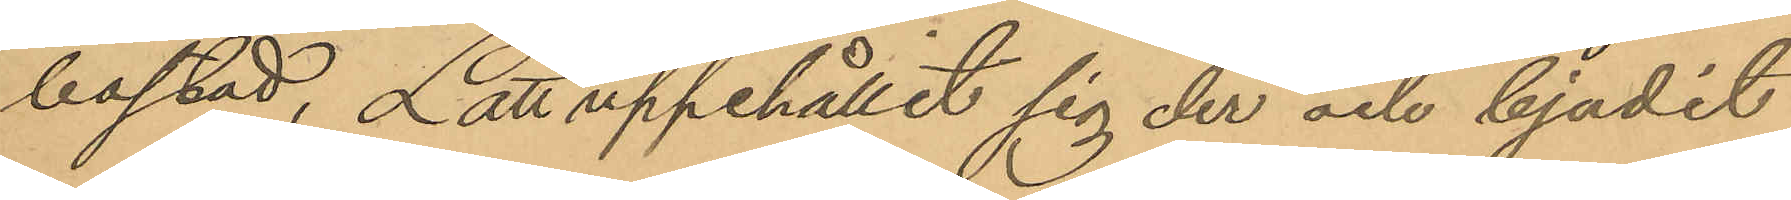bostad, Lätt uppehållit sig der och bjudit
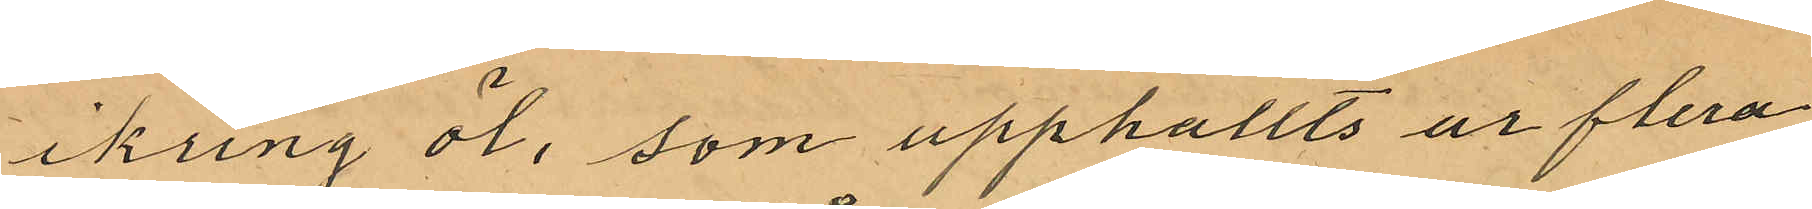ikring öl, som upphallts ur flera
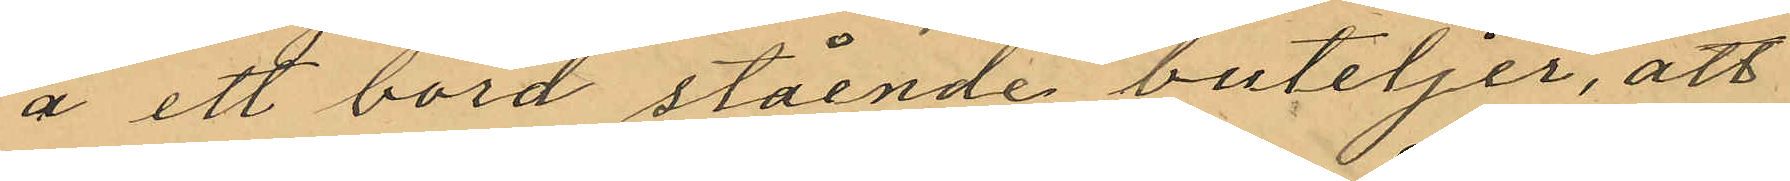å ett bord stående buteljer, att
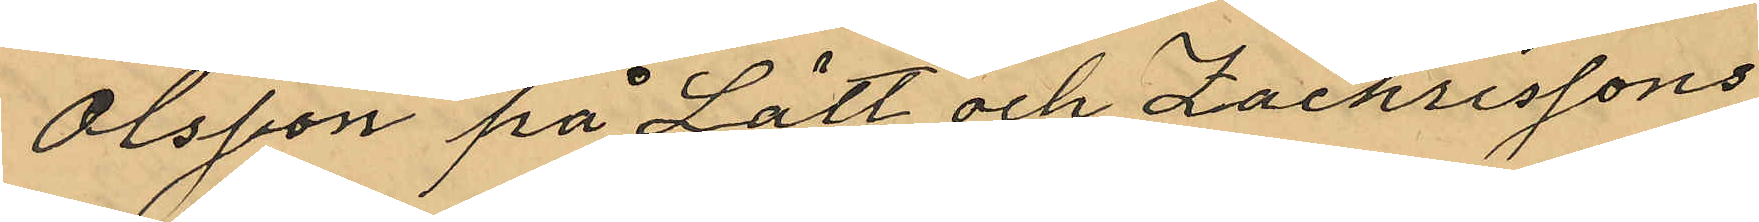Olsson på Lätt och Zachrissons
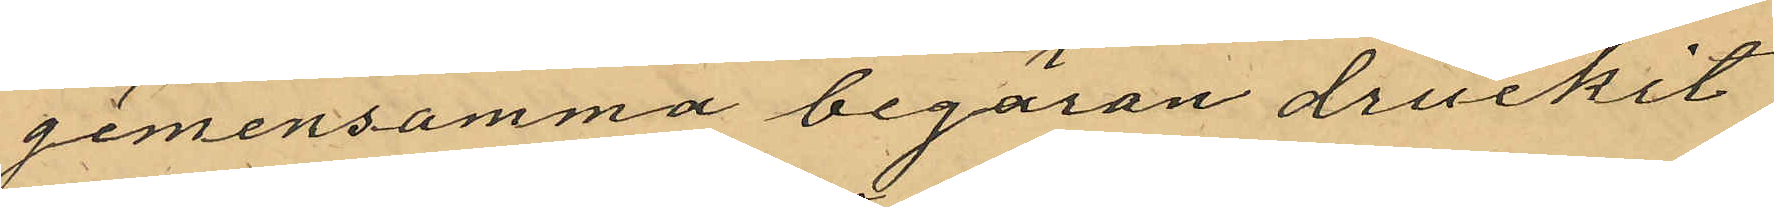gemensamma begäran druckit
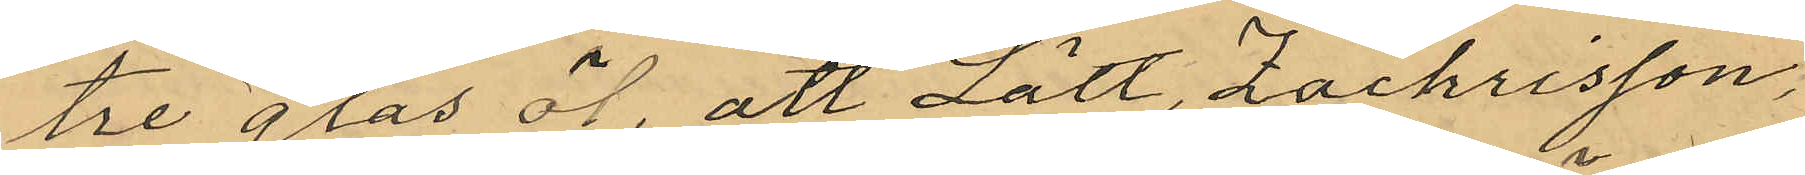tre glas öl, att Lätt, Zachrisson,
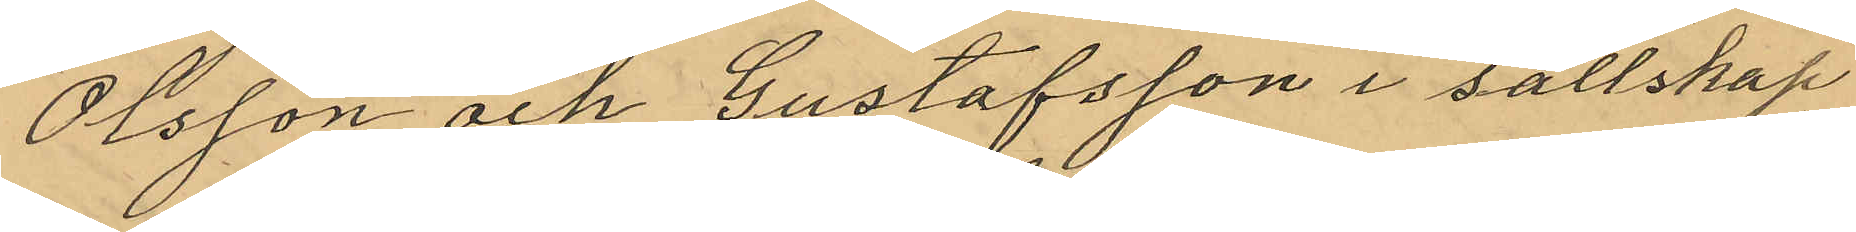Olsson och Gustafsson i sällskap
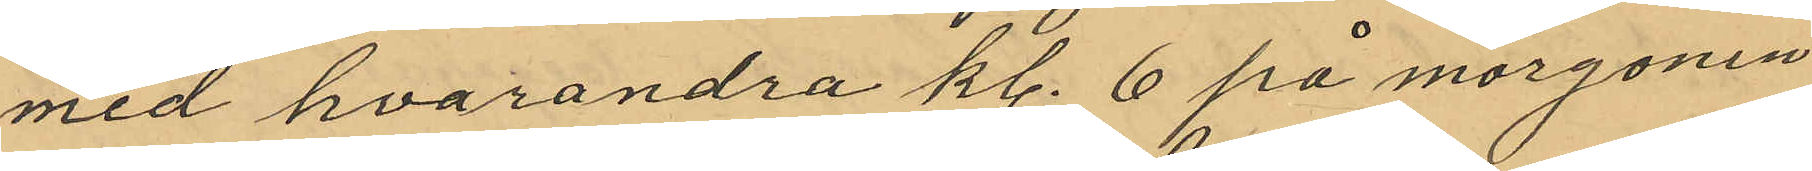med hvarandra kl. 6 på morgonen
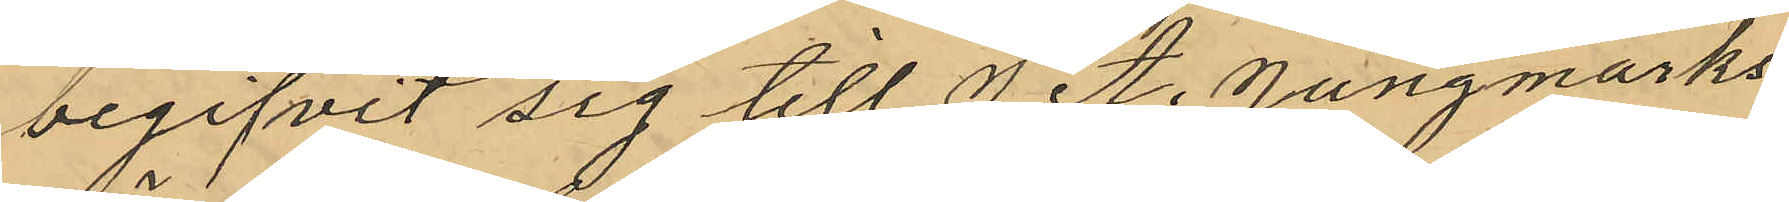begifvit sig till J A. Jungmarks
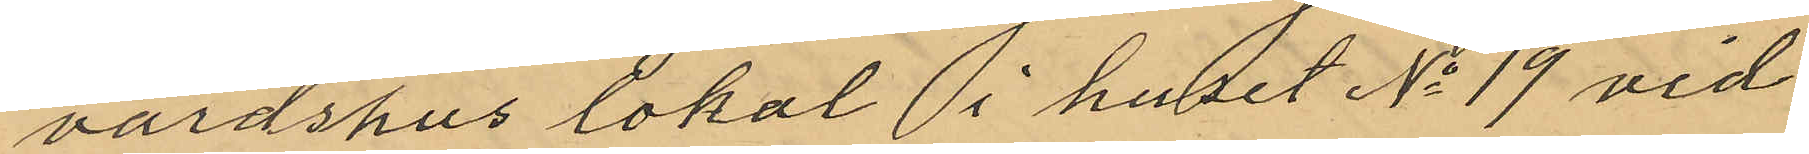värdshus lokal i huset No 19 vid
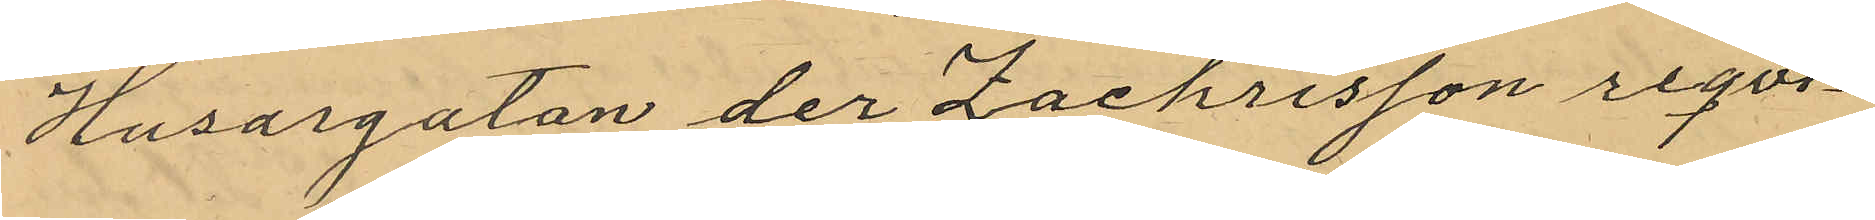Husargatan der Zachrisson reqvi¬
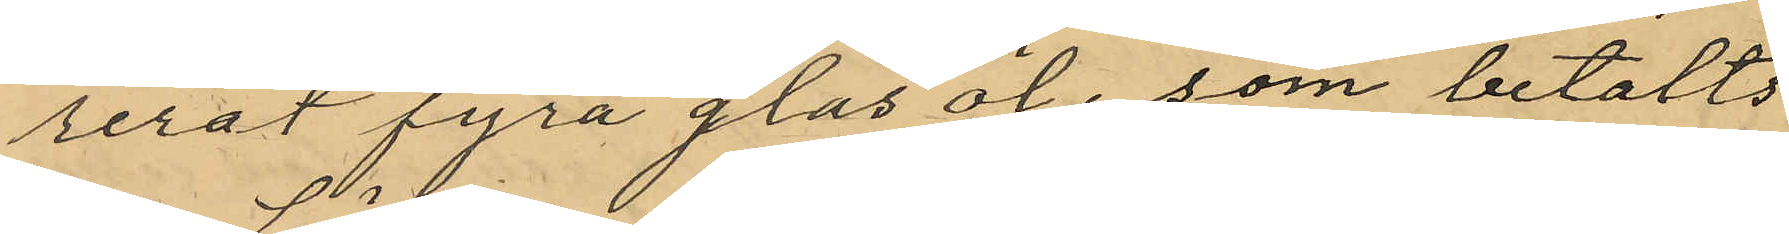rerat fyra glas öl, som betalts
